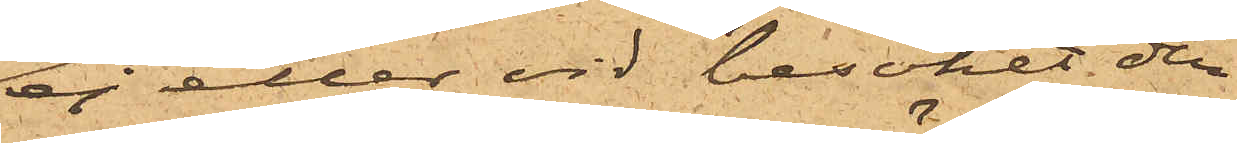ej eller vid besöket den
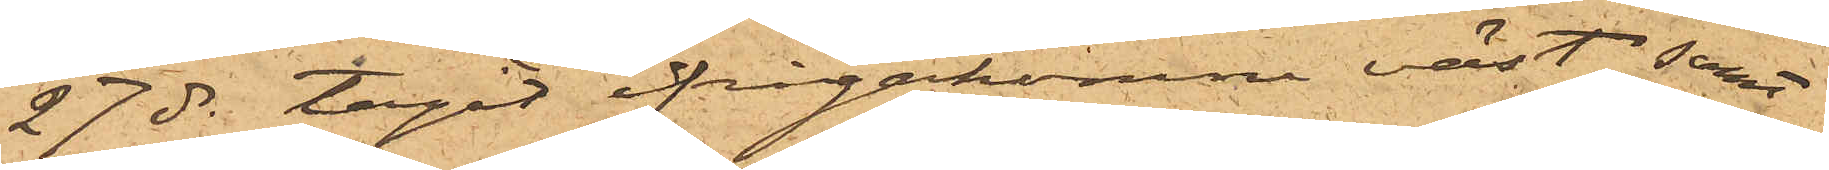27 ds tagit ifrågakomne väst; samt
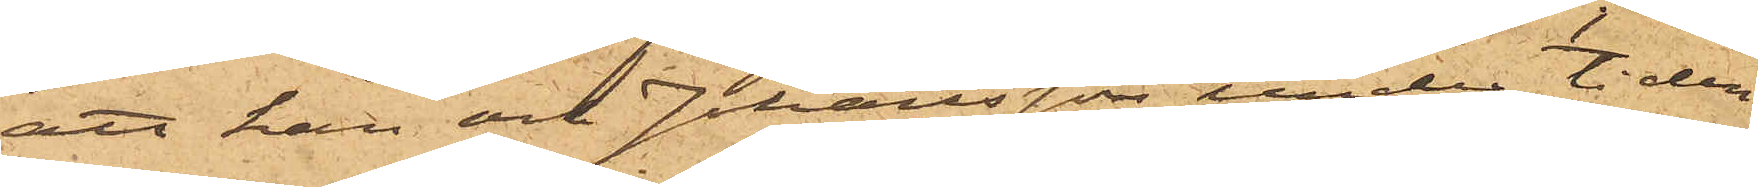att han och Johansson under tiden
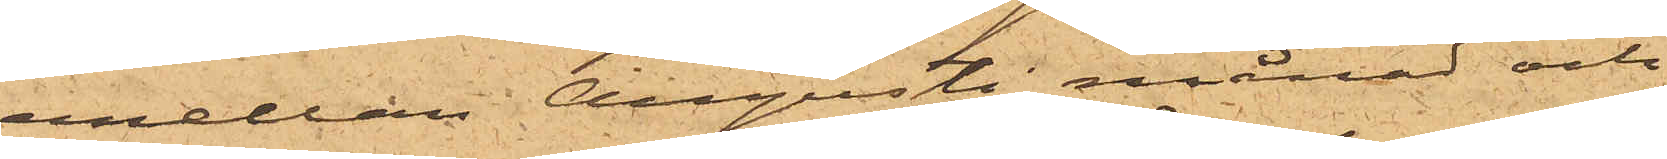emellan Augusti månad och
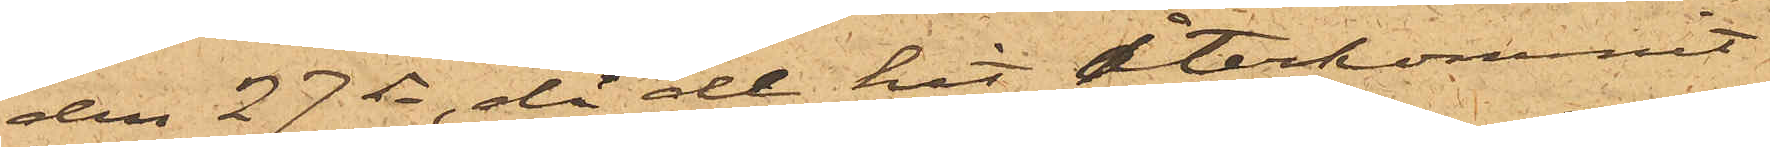den 27 ds, då de hit återkommit
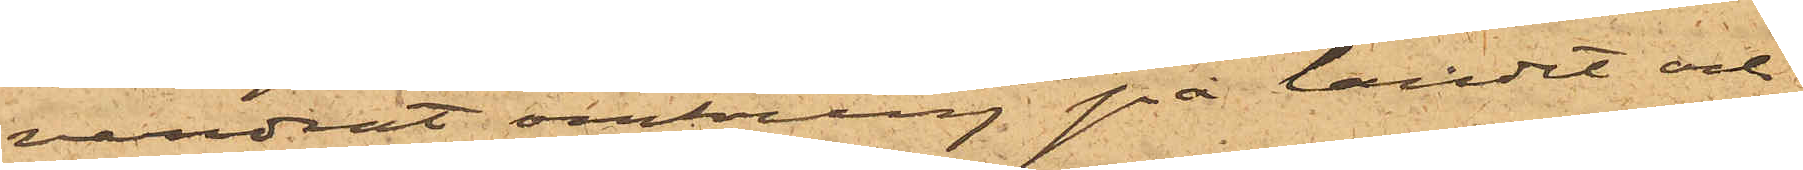vandrat omkring på landet och
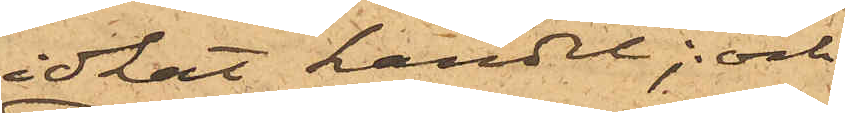idkat handel; och
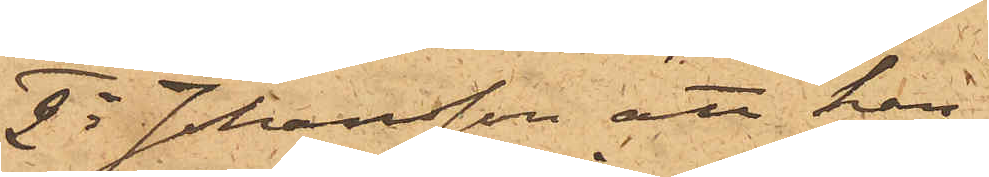2o Johansson att han
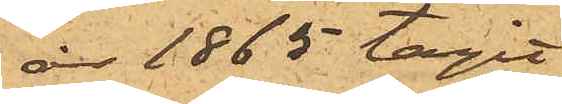år 1865 tagit
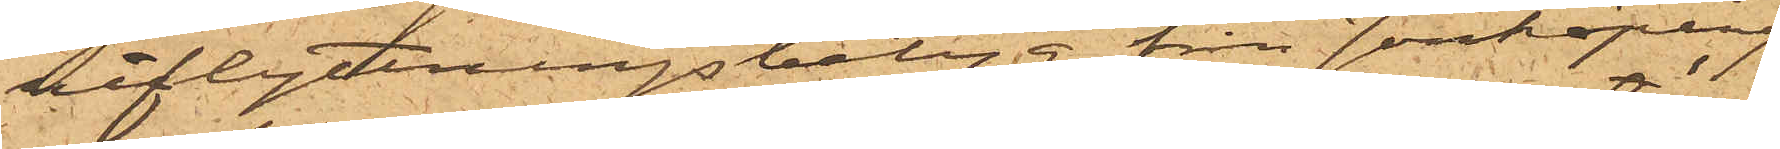utflyttningsbetyg från Jönköping
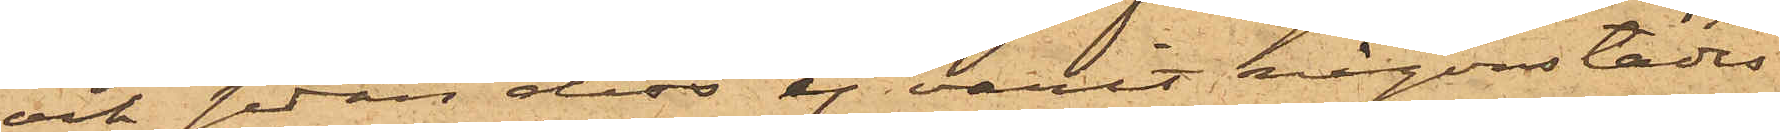och sedan dess ej varit någonstädes
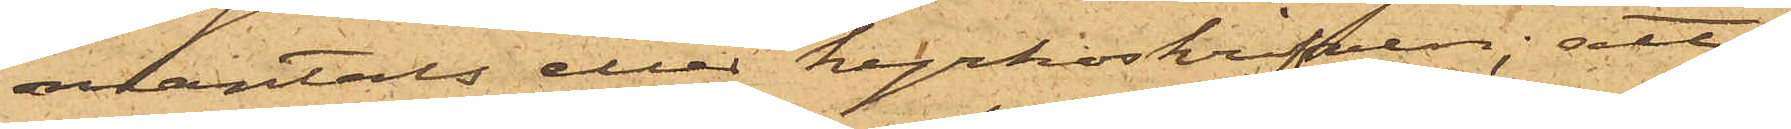mantals eller kyrkoskrifven; att
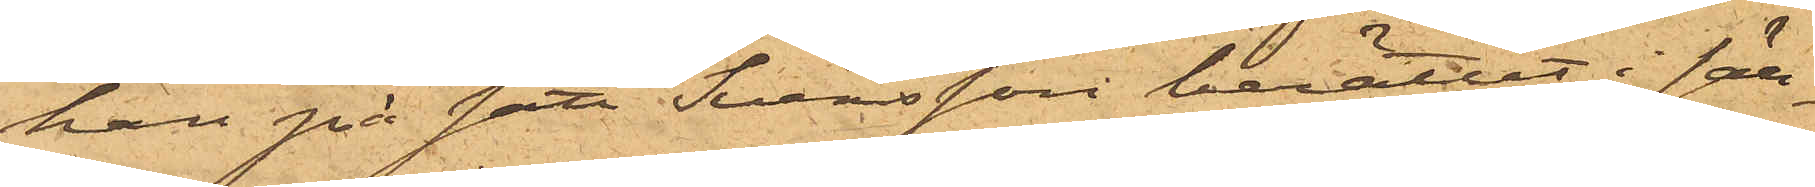han på sätt Svensson berättat i säll¬
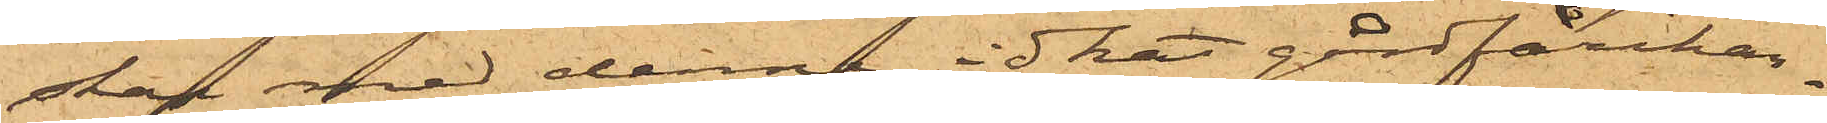skap med denne idkat gårdfarihan¬
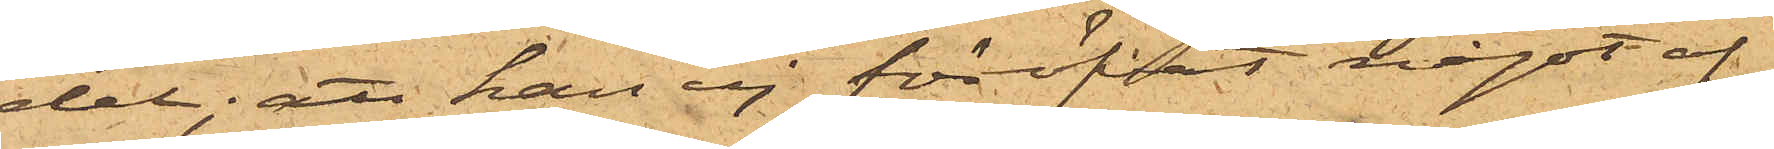del; att han ej föröfvat något af
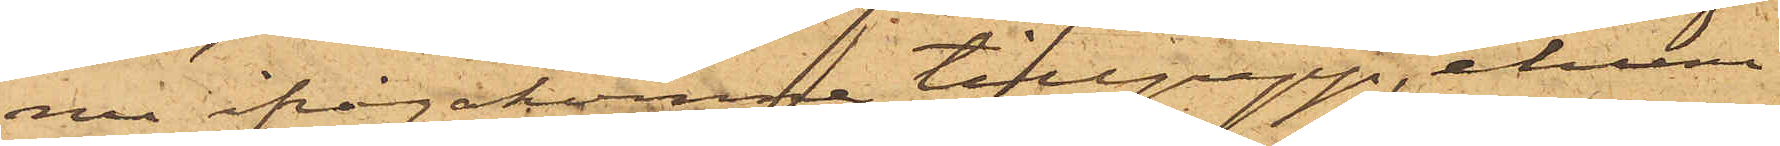nu ifrågakomne tillgrepp, ehuru
